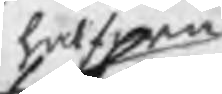halfwa
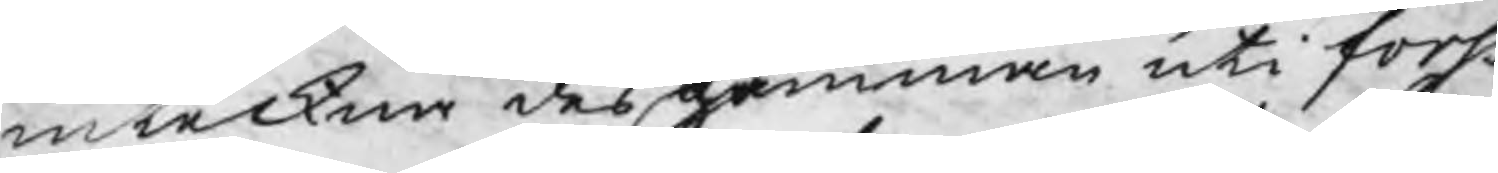inteckna des hemman uti forss
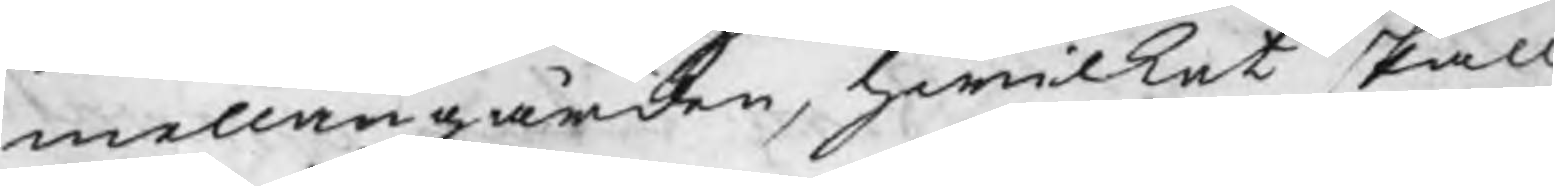mellangården, hwilket skall
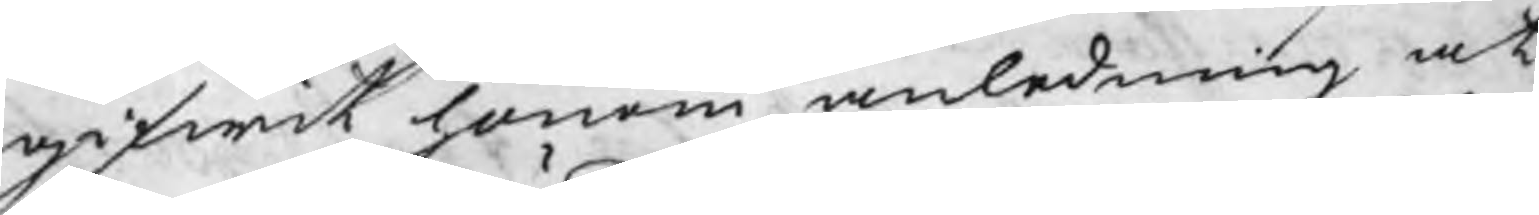gifwit honom anledning at
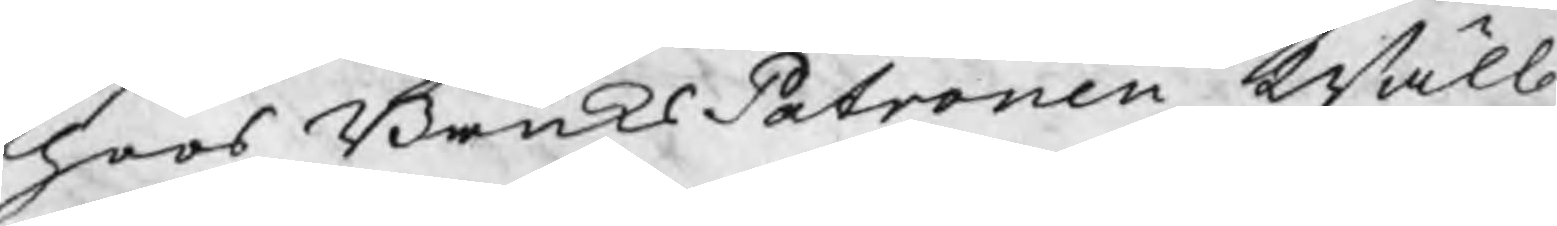hoos BruksPatronen Wälb.
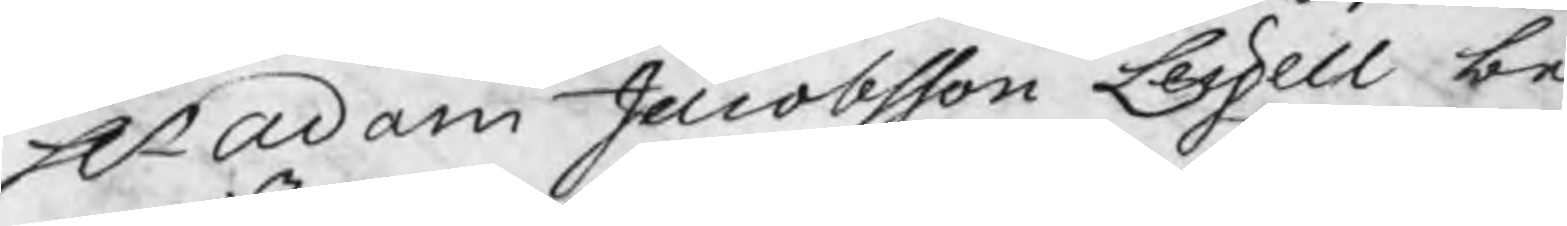Hr Adam Jacobsson Leijell be¬
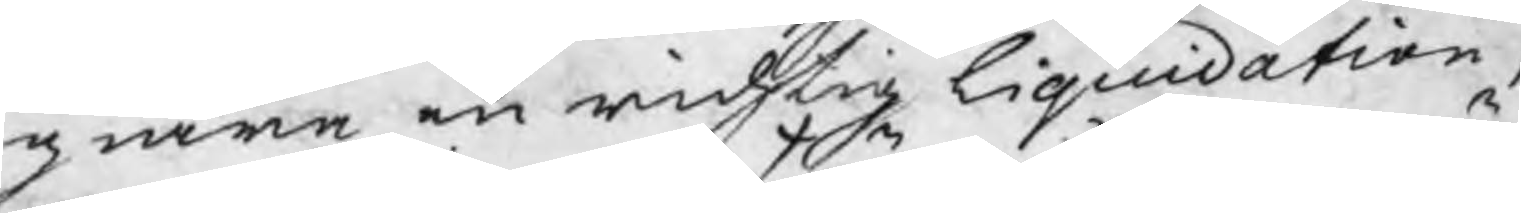giära en richtig liquidation,
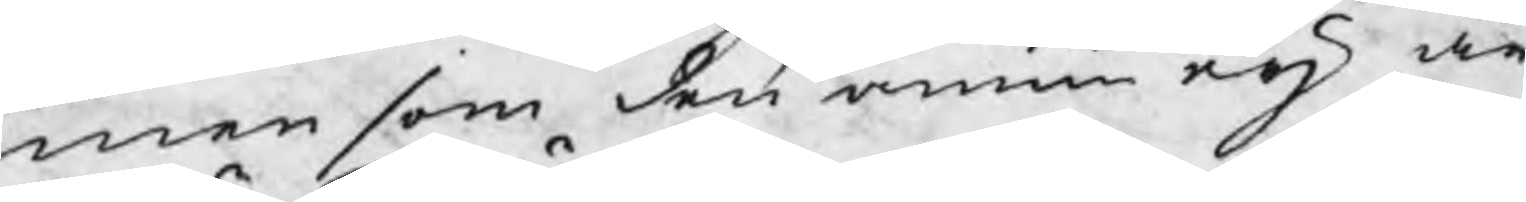men som den ännu eij är
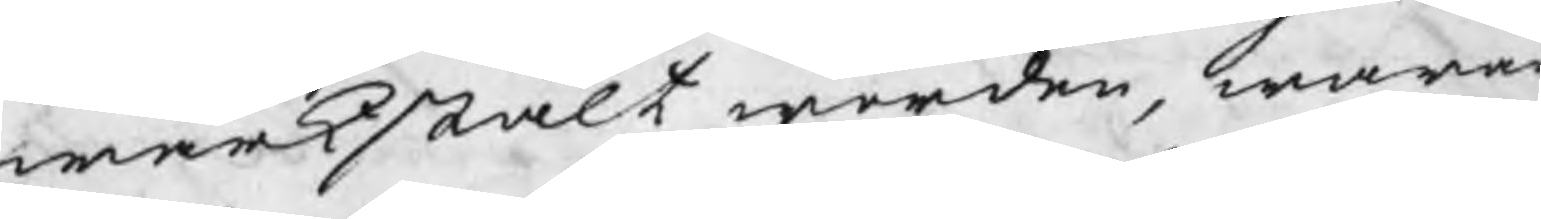wärkstält worden, wara
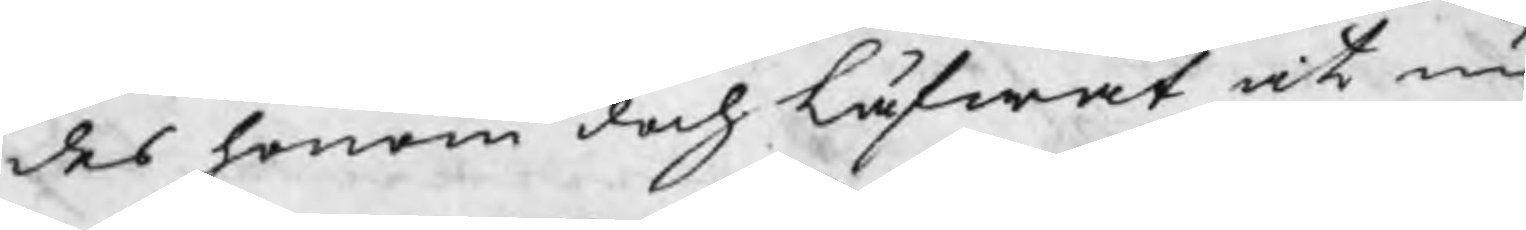des honom doch låfwat, at nu
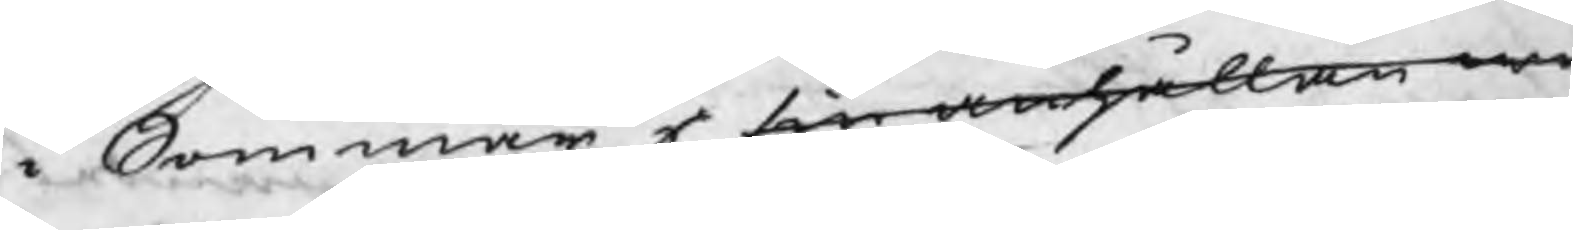i Sommar i sin anhållan w
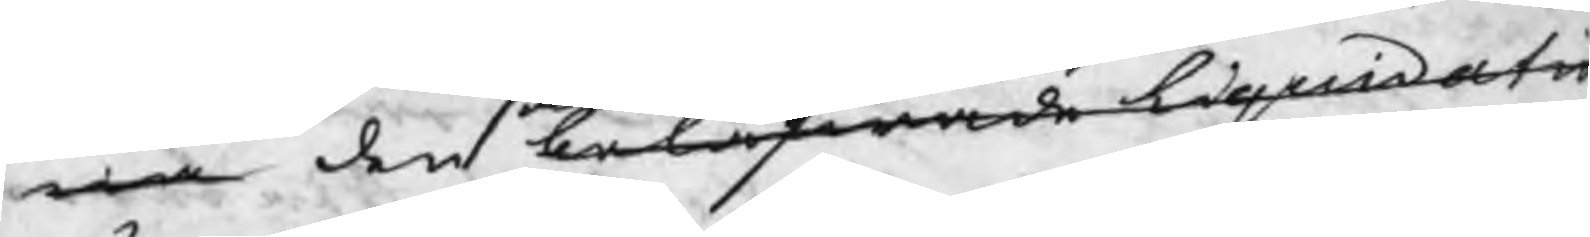ra den belåfwade liquidatio
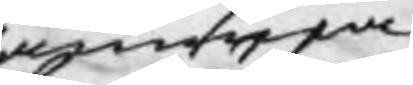samma
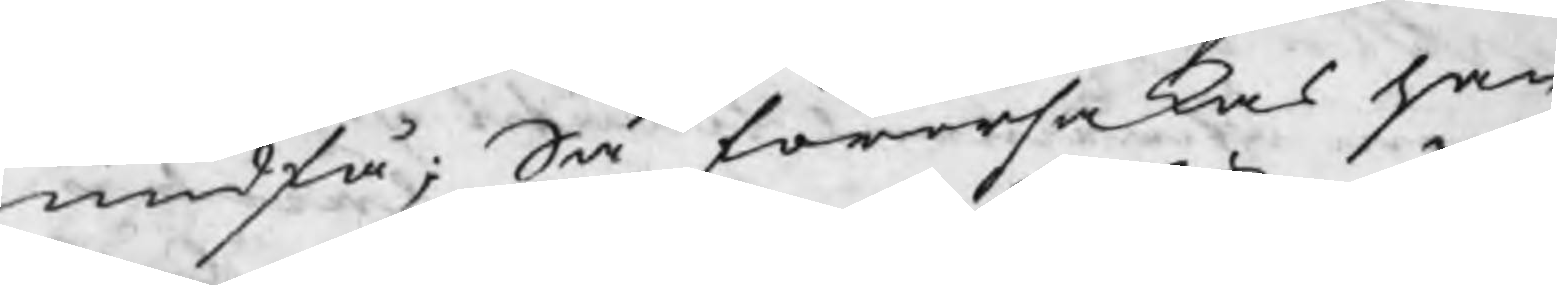undfå; Så förorsakades han
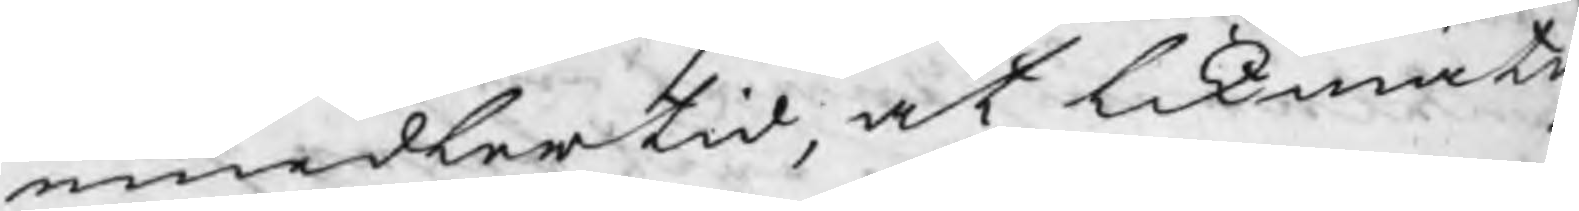emedlertid, at likmäti
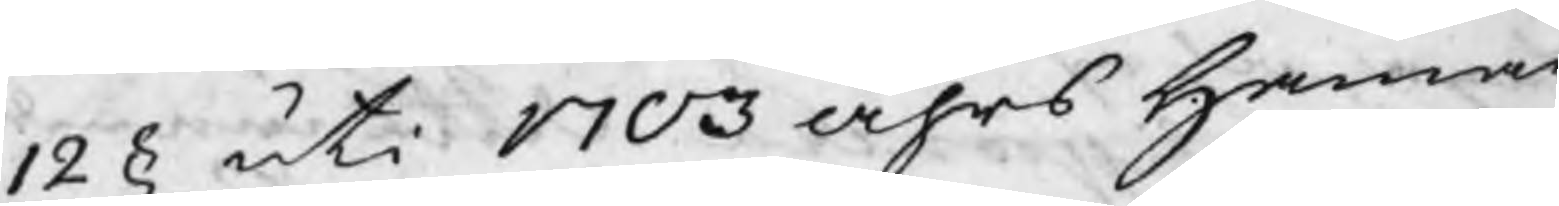12 § uti 1703 åhrs Hammar
